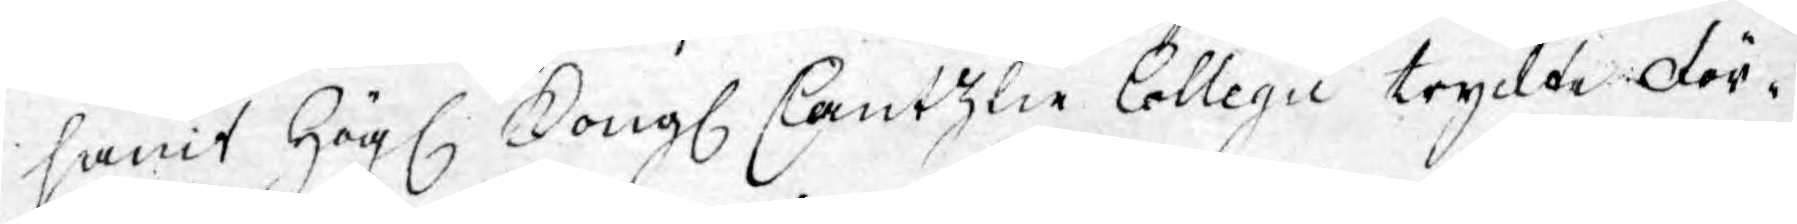samt Högl. Kongl. Cantzlie Collegii tryckte För¬
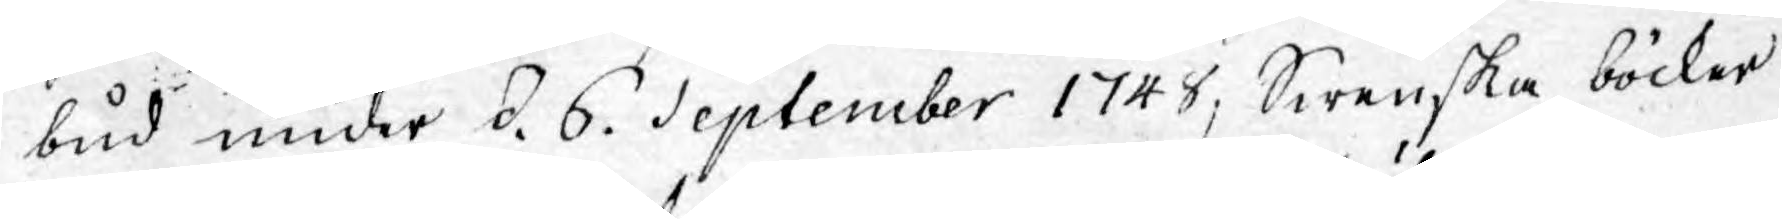bud under d. 6. September 1748, Swenska böcker
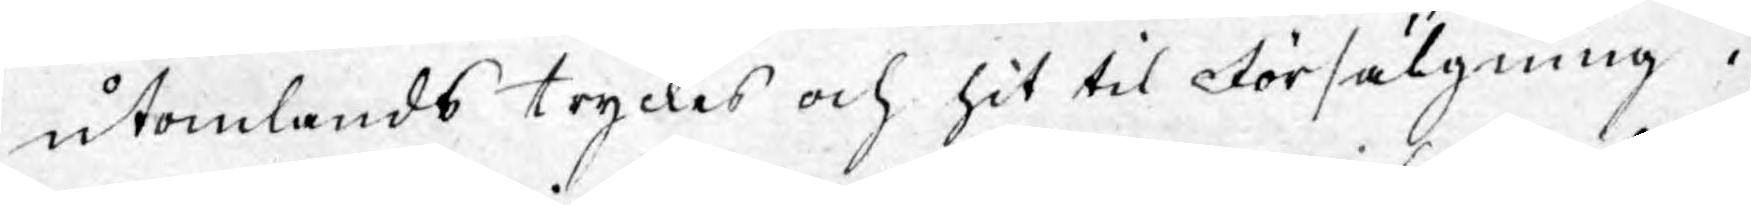utomlands tryckes och hit til Försälgning i
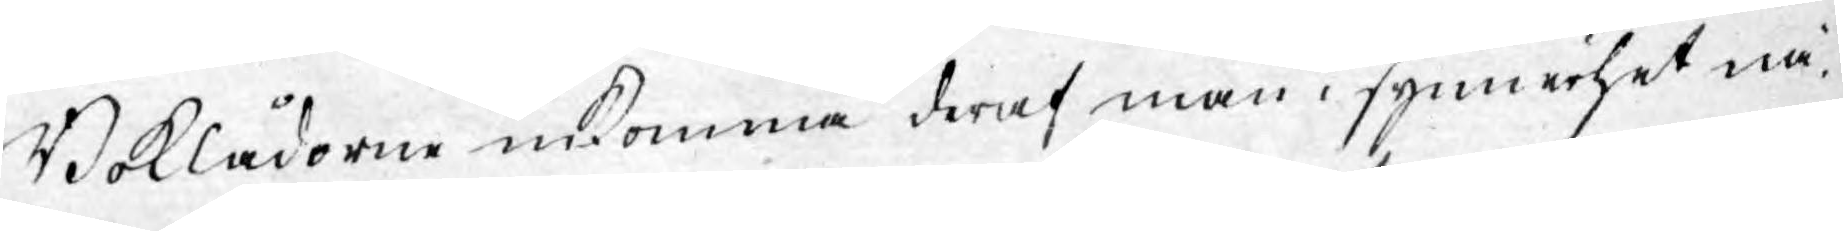Boklådorne inkomma deraf man i synnerhet nå¬
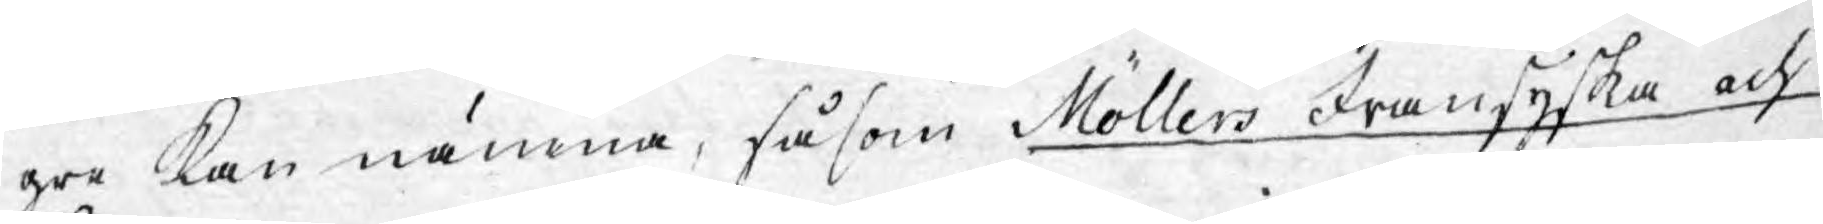gre kan nämna, såsom Möllers Fransyska och
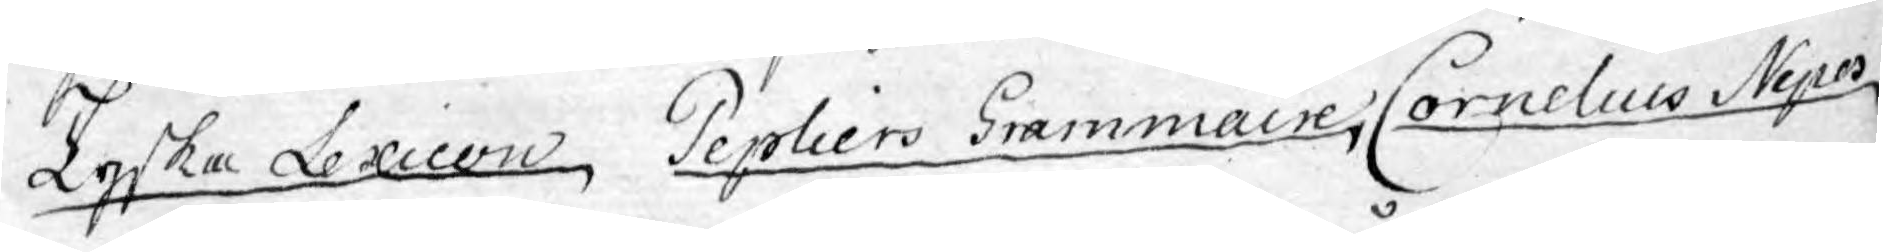Tyska Lexicon, Pepliers Grammaire, Cornelius Nepos
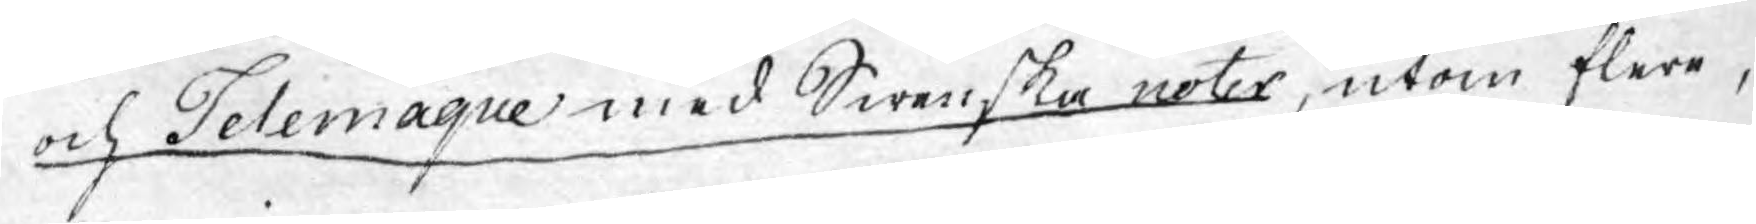och Telemaque med Swenska noter, utom flere,
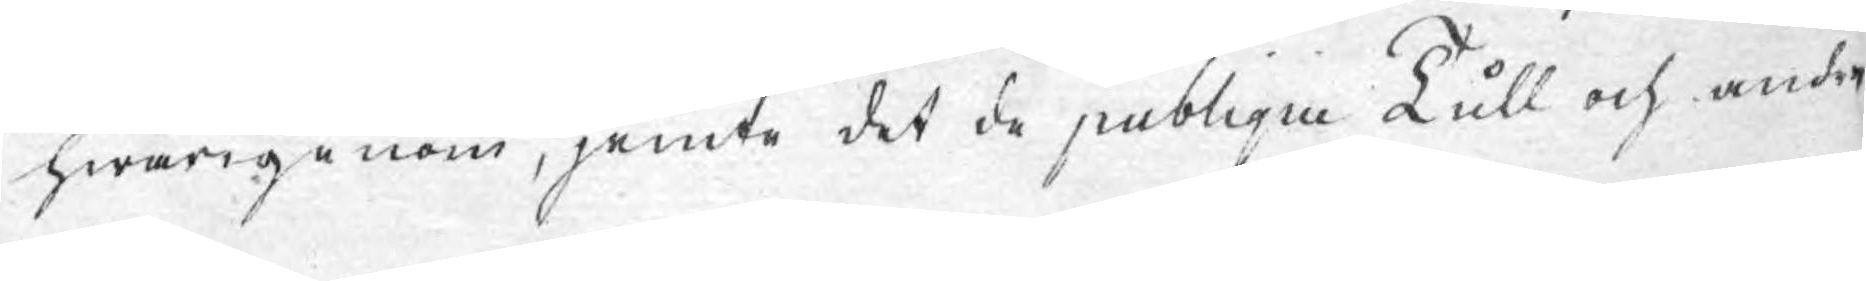hwarigenom, jemte det de publique Tull och andre
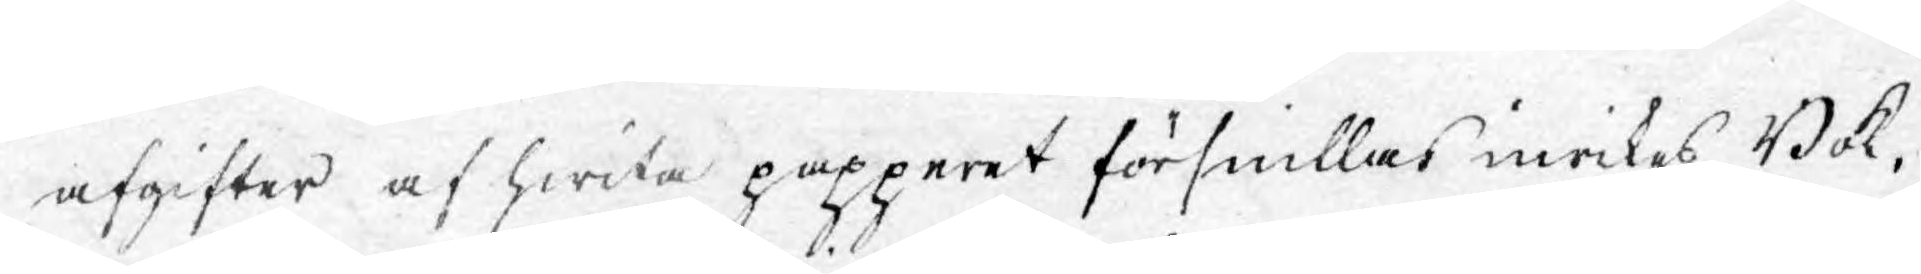afgifter af hwita papperet försnillas inrikes Bok¬
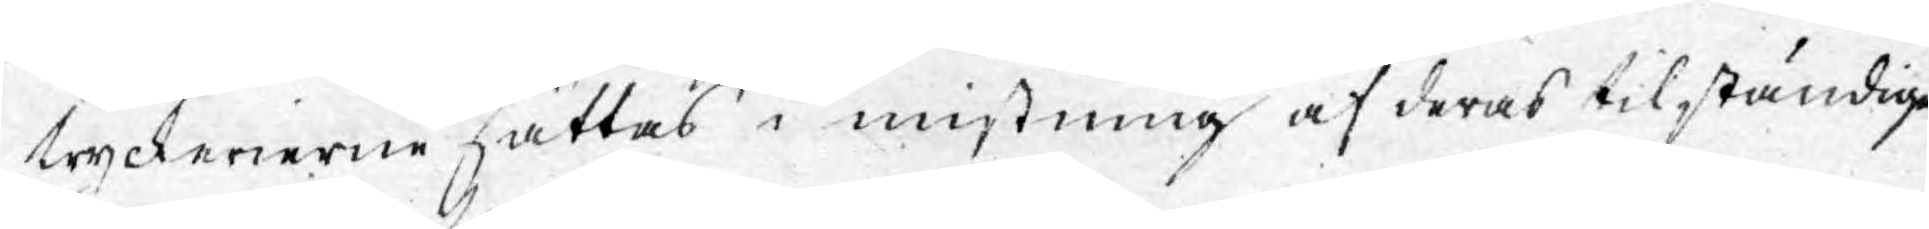tyckerierne sättas i mistning af deras tilständige
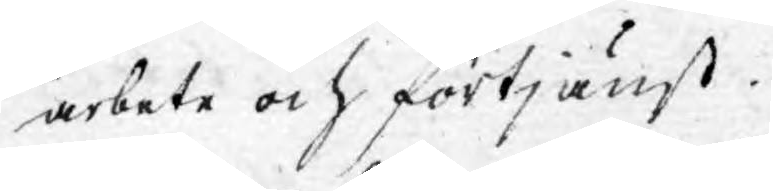arbete och förtjänst.
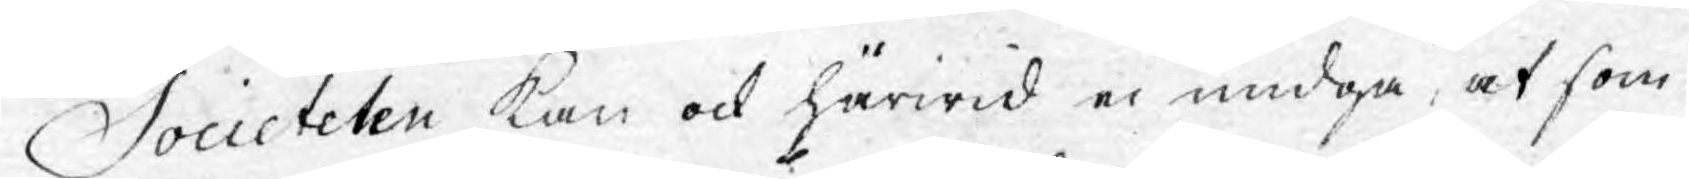Societeten kan ock härwid ei undgå, at som
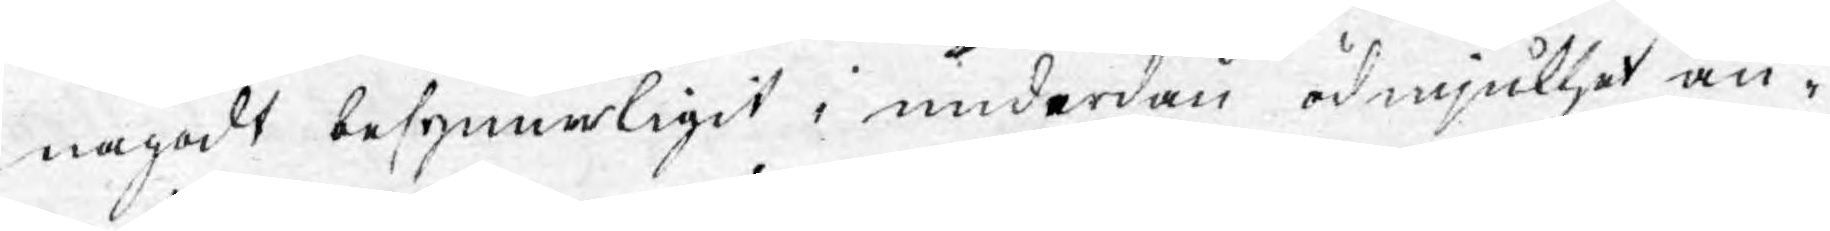någodt besynnerligit i underdån ödmjukhet an¬
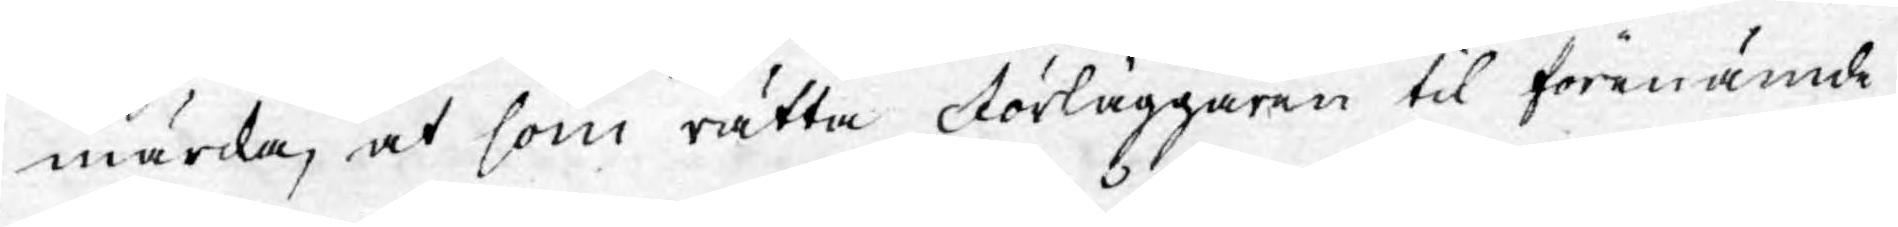märka, at som rätta Förläggaren til förenämde
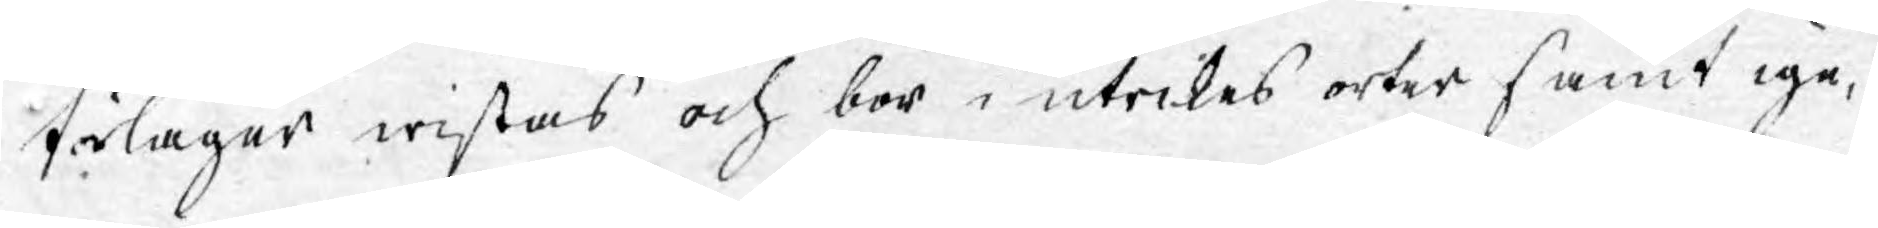förlager wistas och bor i utrikes orter samt ige¬
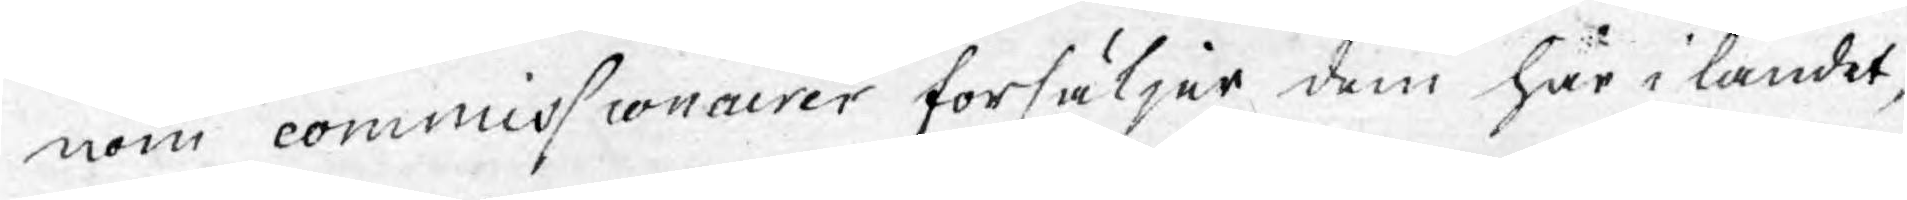nom commissionairer försäljer dem här i landet,
